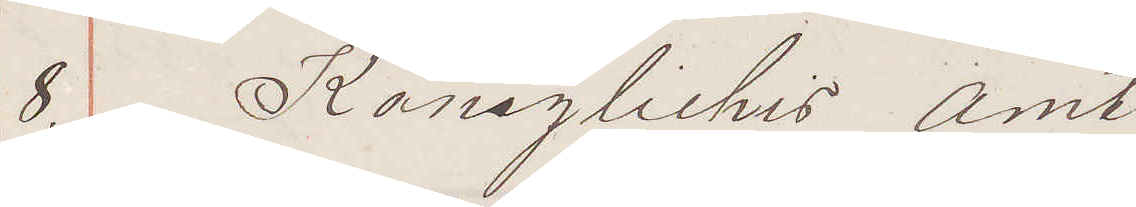8. Königliches Amt
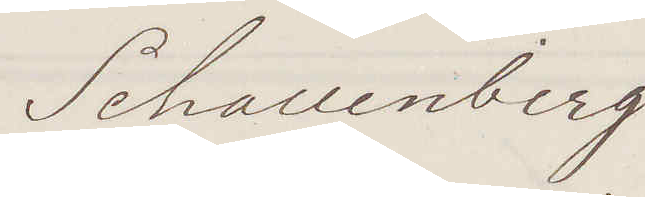Schallenberg
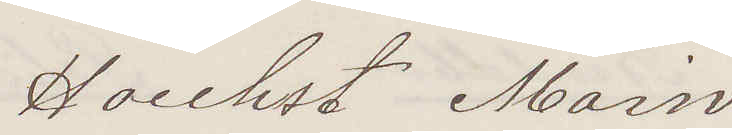Hoechst Main
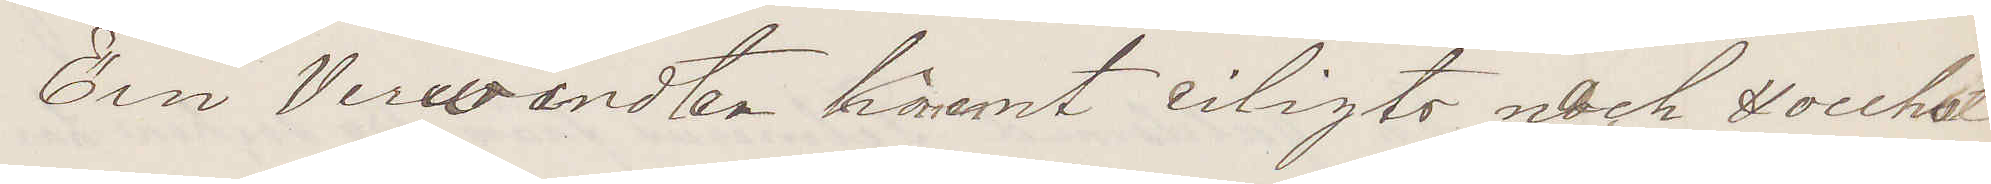Ein Verwandten häramt eiligts nach Hoechst
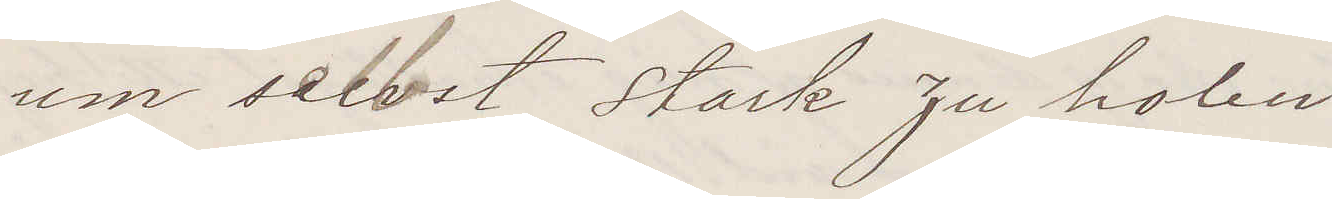um selbst Stark zu holen
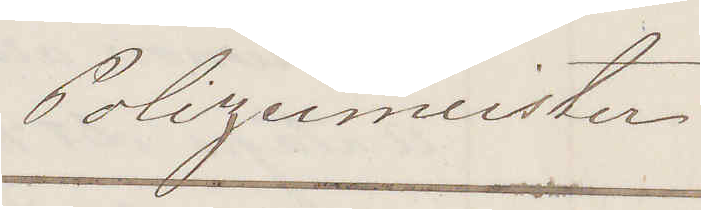Polizeimeister
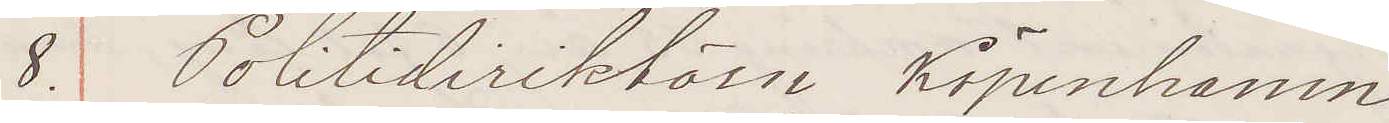8. Politidirektörn Köpenhamn
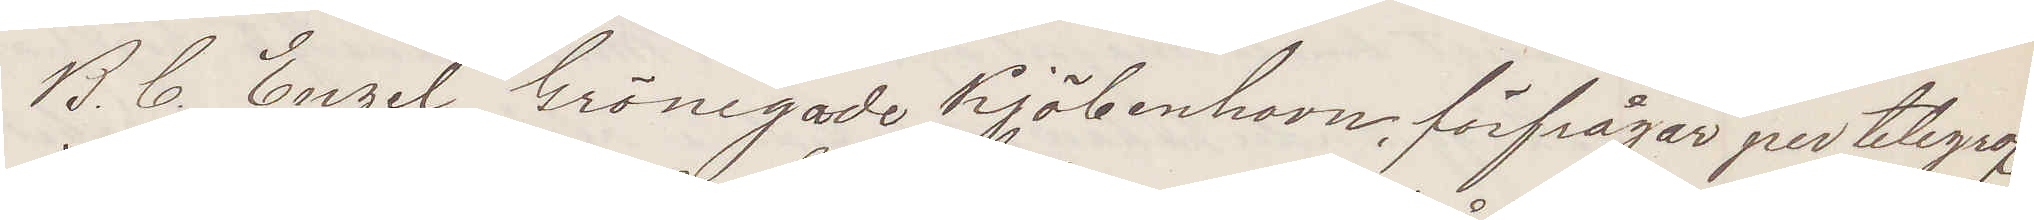B. C. Engel, Gröngade Kjöbenhavn, förfrågar per telegraf
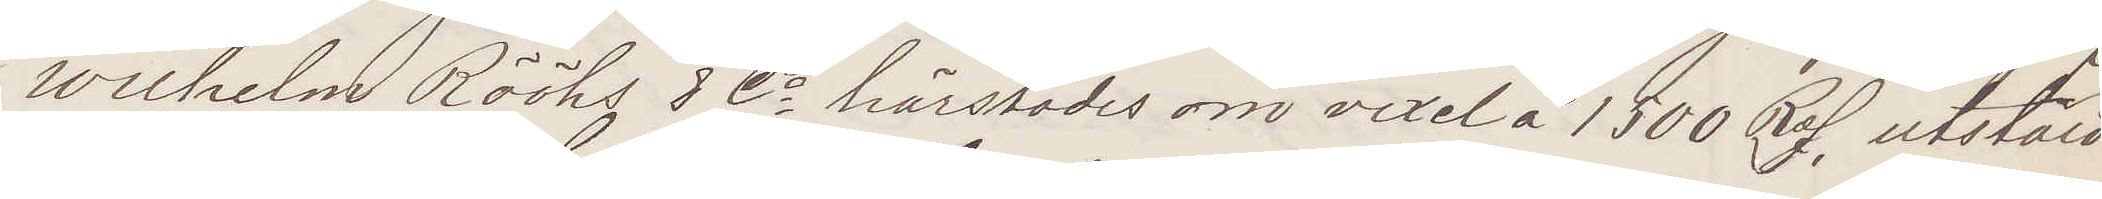Wilhelm Rööhs & Co härstädes om vexel å 1500 RdS utstäld
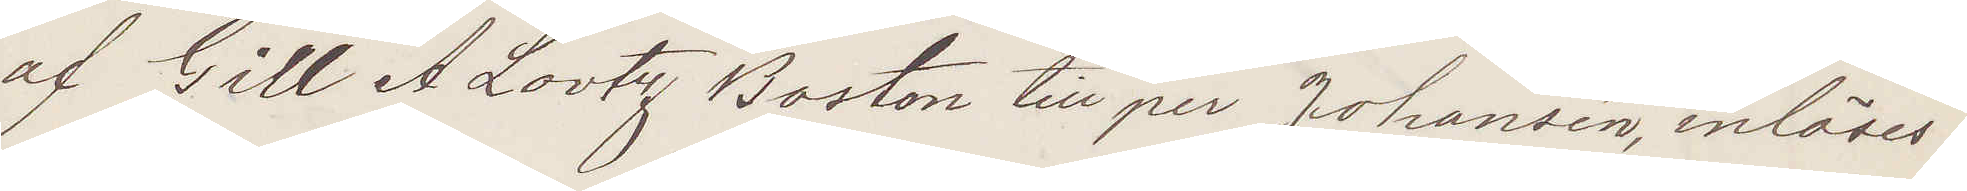af Gill A Lovtry Boston till per Johansen, inlöses?
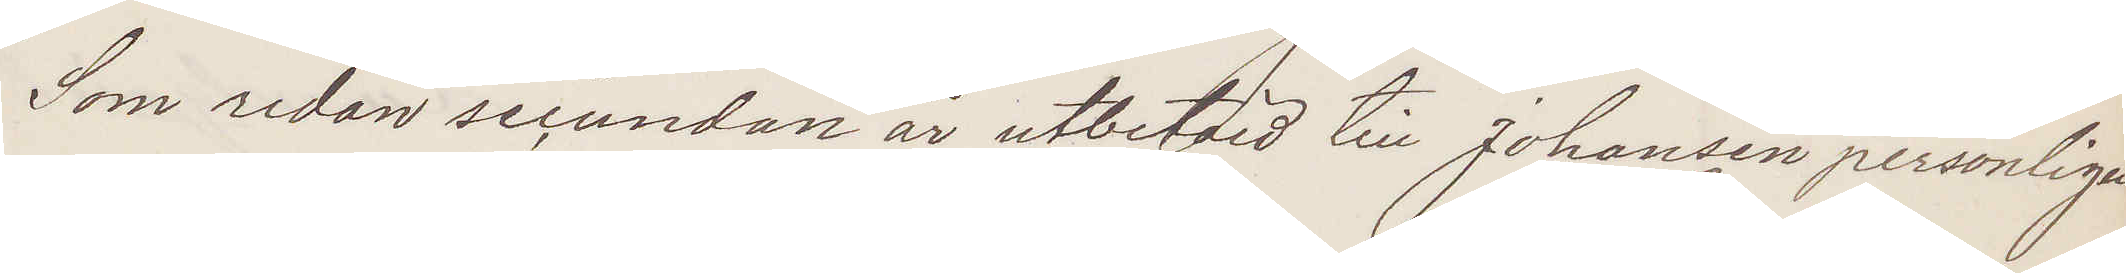Som redan secundan är utbetalad till Johansen personligen
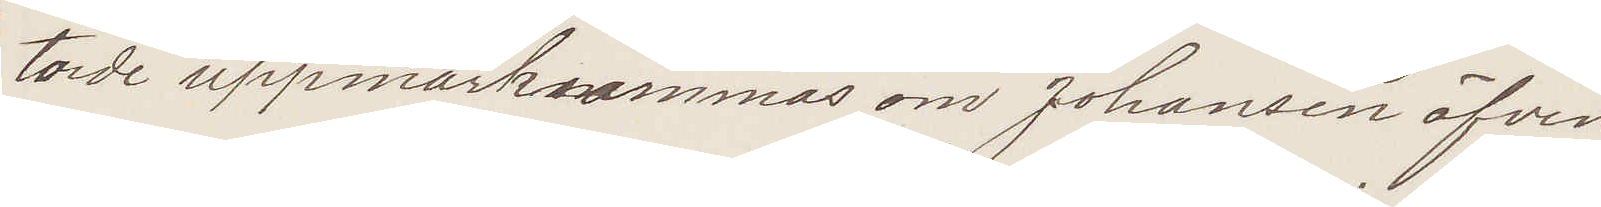torde uppmärksmmas om Johansen äfven
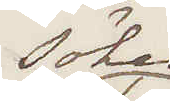sökes 
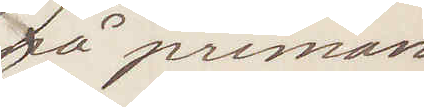på priman
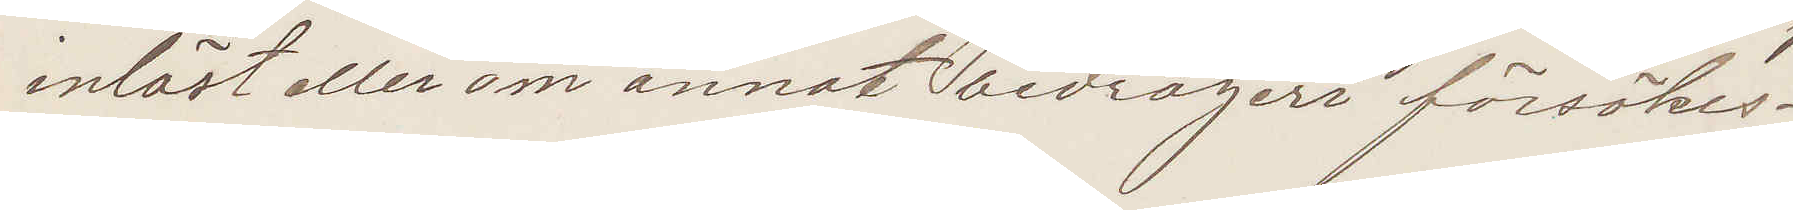inlöst eller om annat bedrägeri försökes
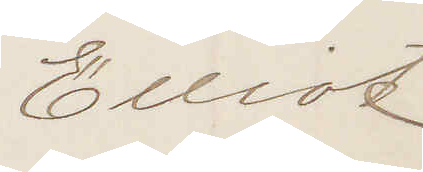Elliot
